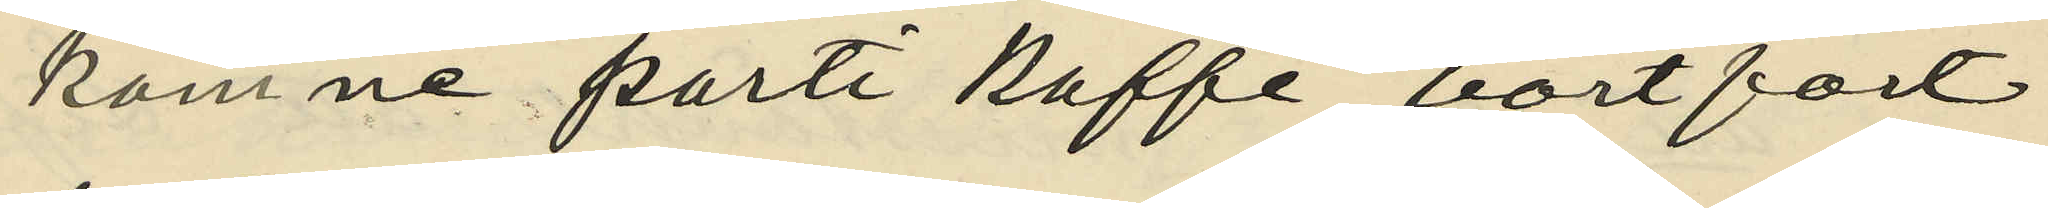komne parti kaffe bortfört
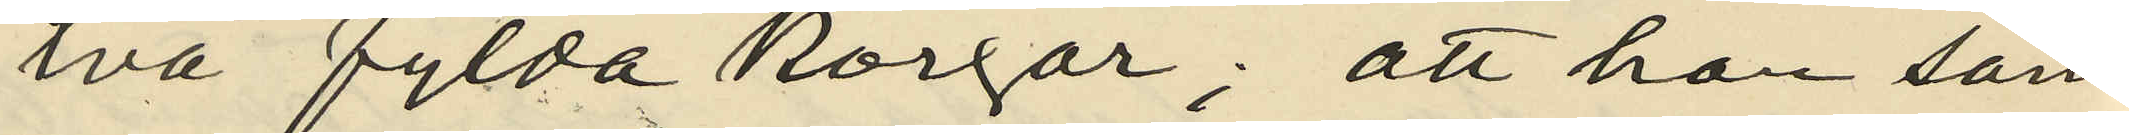två fylda korgar;  att hon sam¬
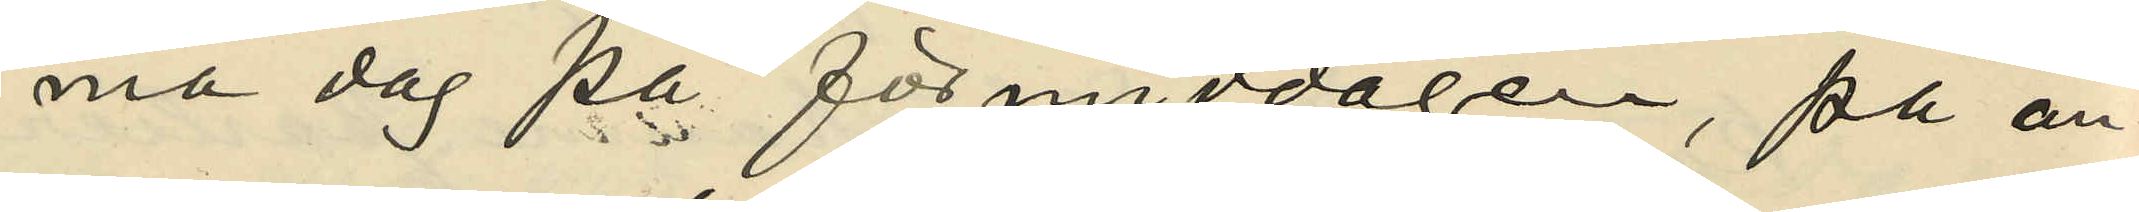ma dag på förmiddagen, på an¬
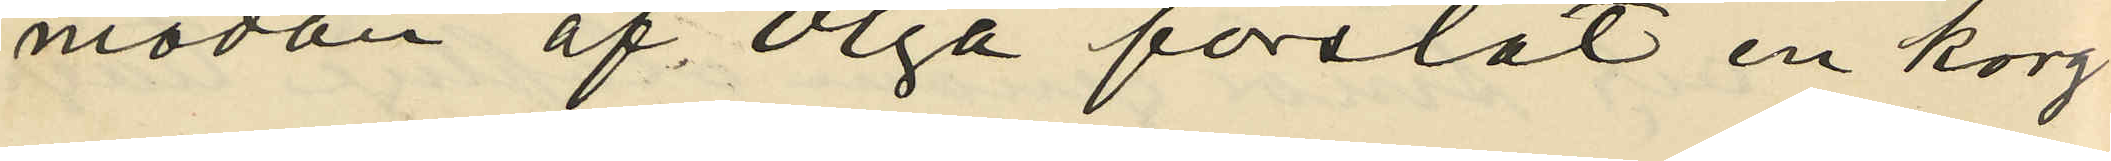modan af Olga forslat en korg
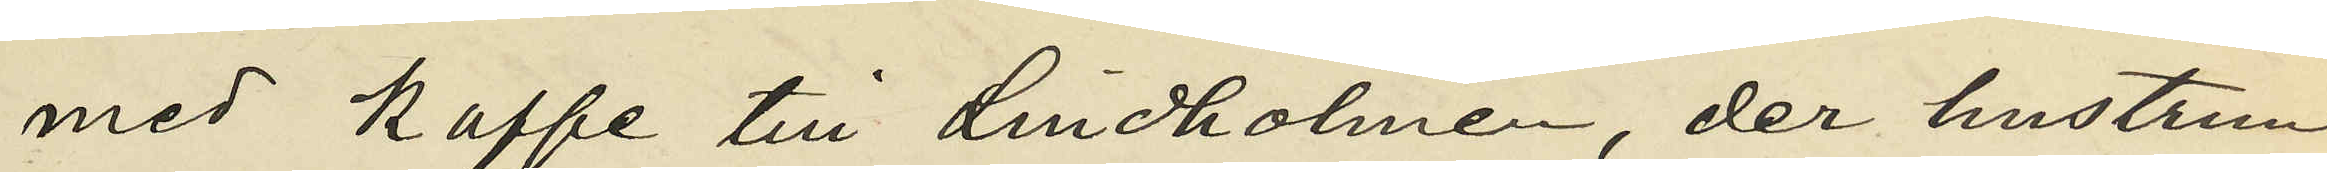med kaffe till Lindholmen, der hustrun
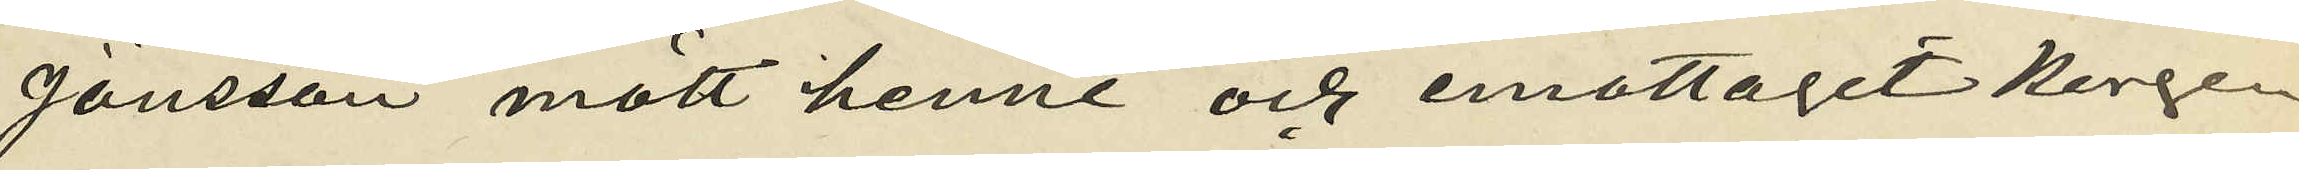Jönsson mött henne och emottagit korgen
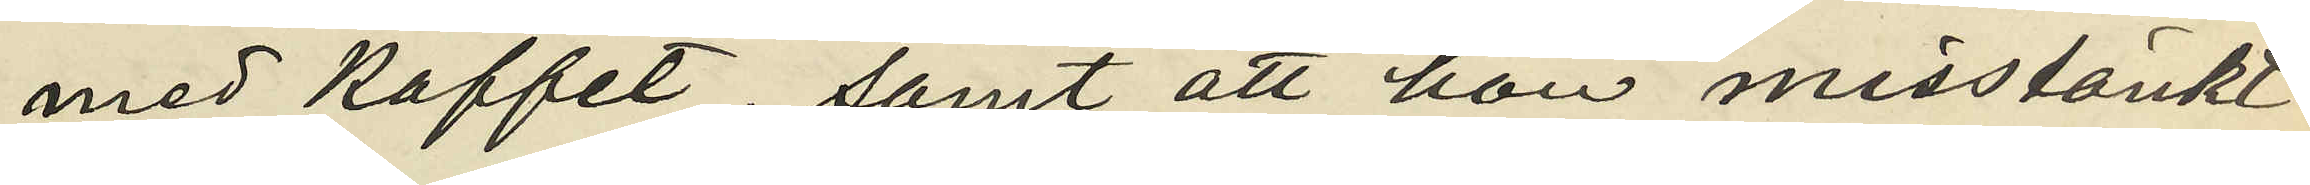med kaffet; samt att hon misstänkt
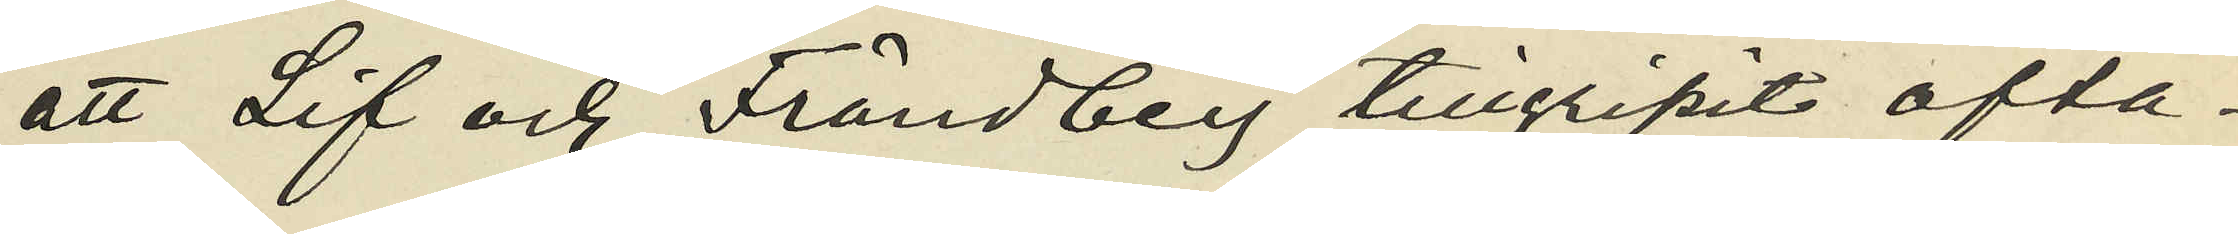att Lif och Frändberg tillgripit ofta¬
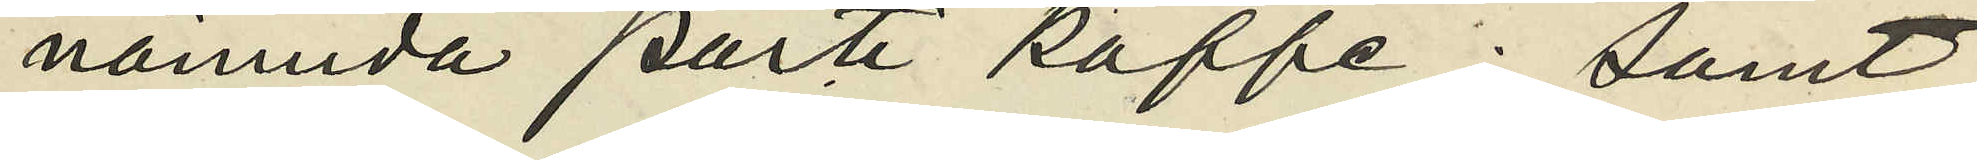nämnda parti kaffe; samt
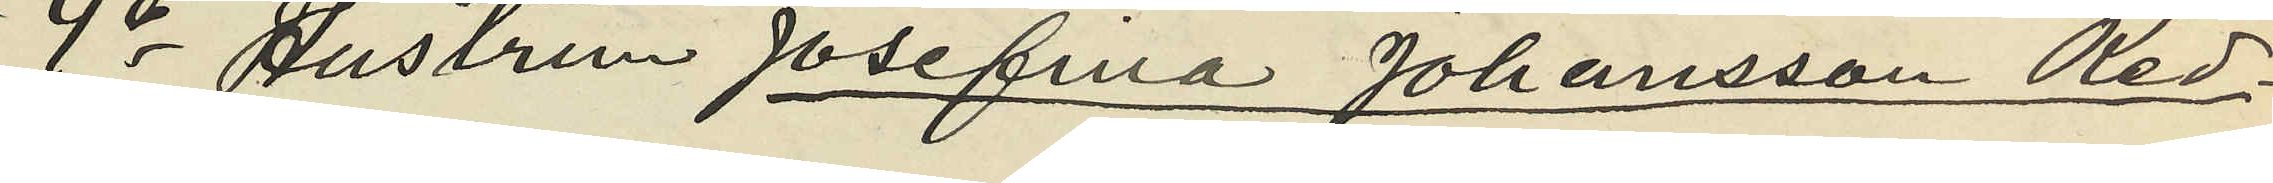4o Hustrun Josefina Johansson Red¬
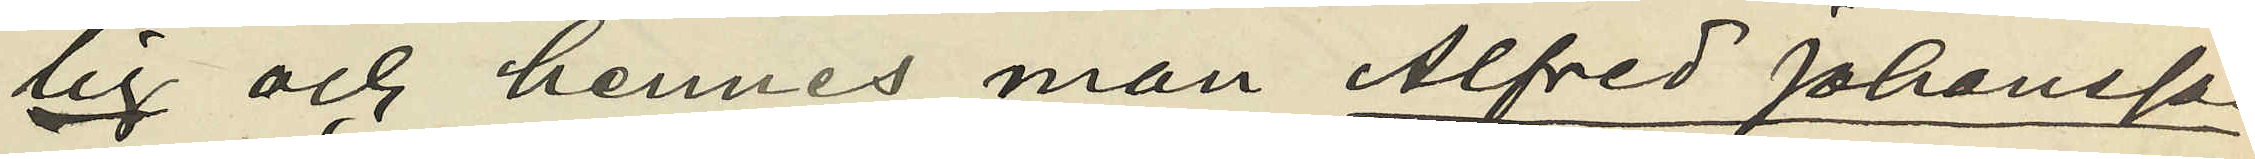lig och hennes man Alfred Johansson
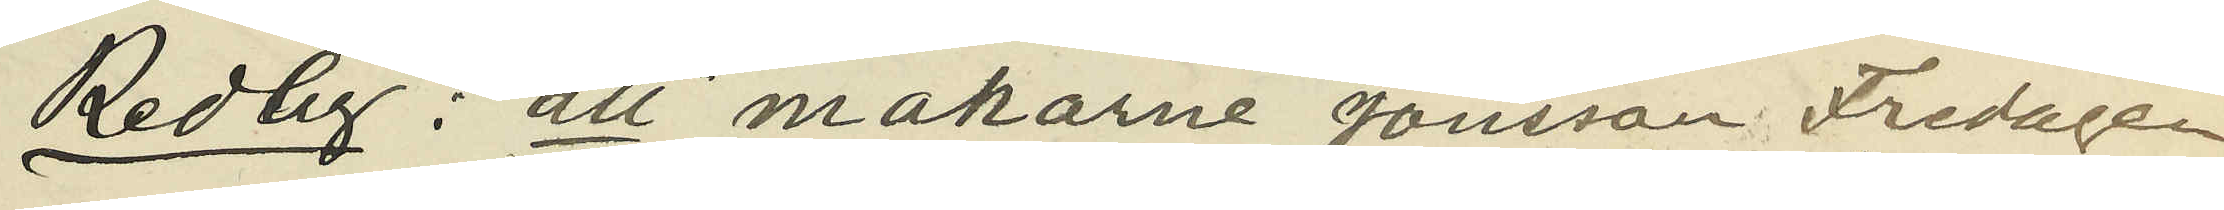Redlig: att makarne Jönsson Fredagen
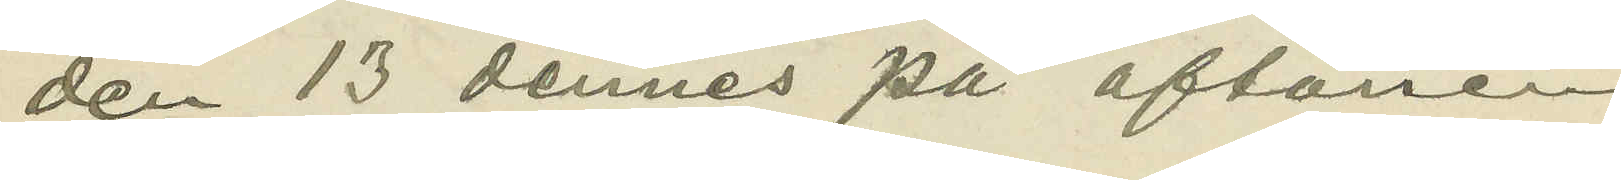den 13 dennes på aftonen
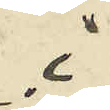i
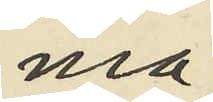ma¬
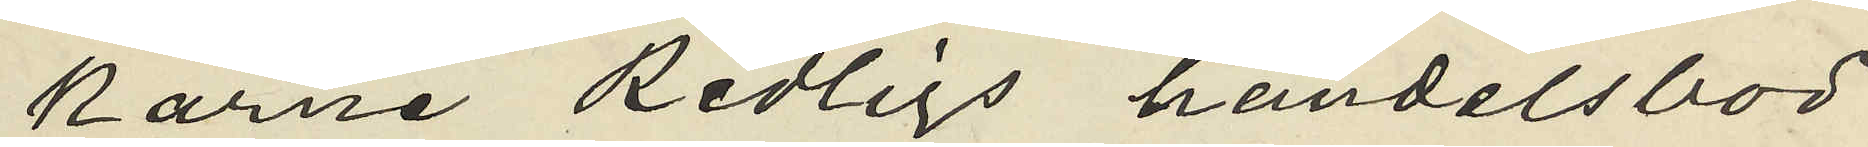karne Redligs handelsbod
